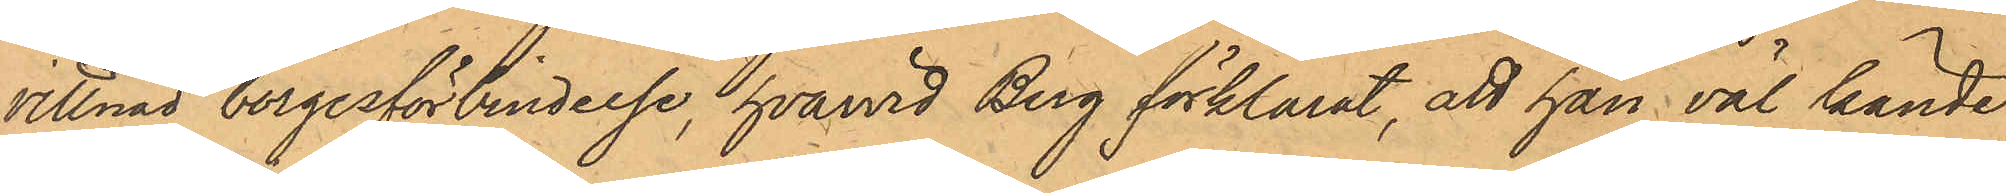vittnad borgesförbindelse, hvarvid Berg förklarat, att han väl kände
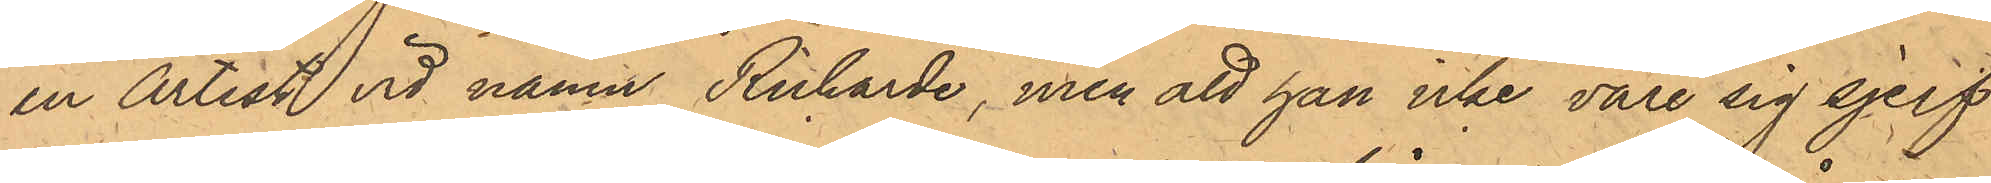en Artist vid namn Richarde, men att han icke vore sig sjelf
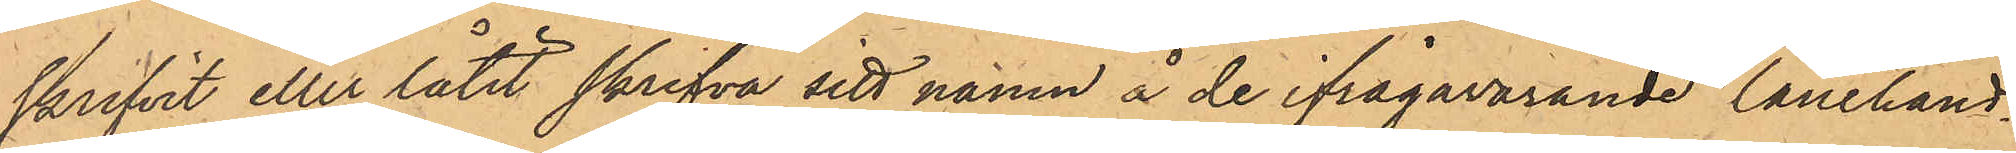skrifvit eller låtit skrifva sitt namn å de ifrågavarande lånehand¬
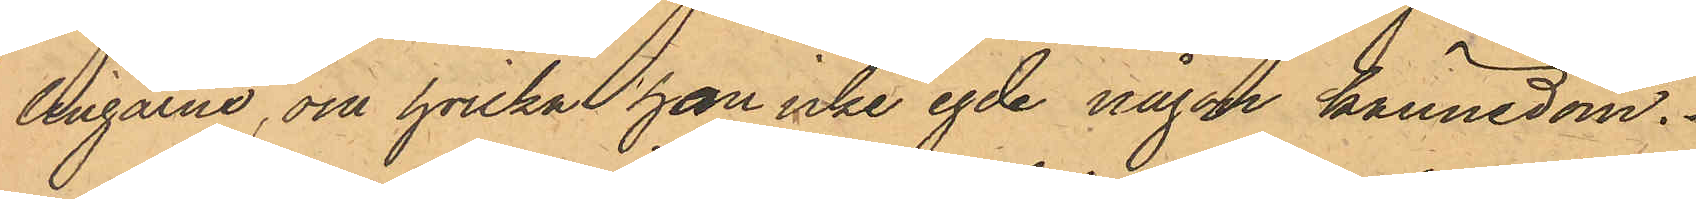lingarne, om hvilka han icke egde någon kännedom.
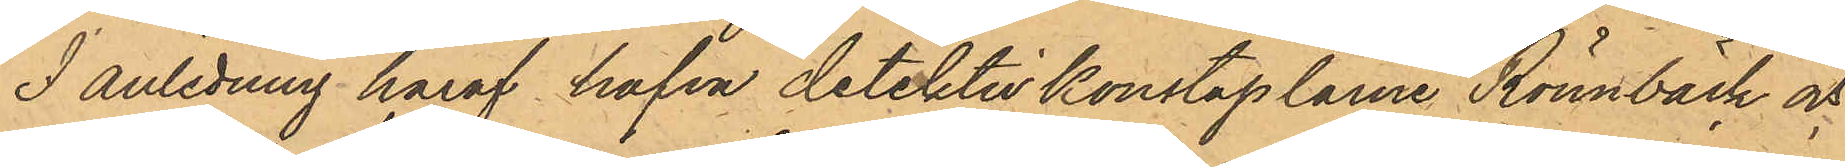I anledning häraf hafva detektivkonstaplarne Rönnbäck och
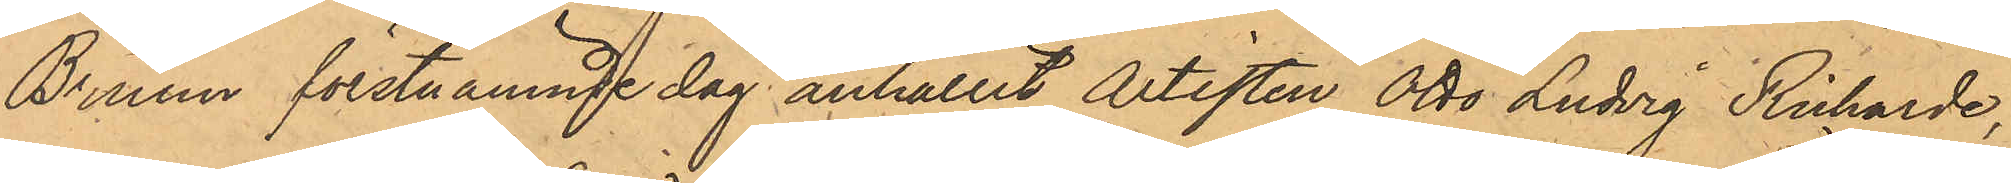Bruun förstnämnde dag anhållit Artisten Otto Ludvig Richarde,
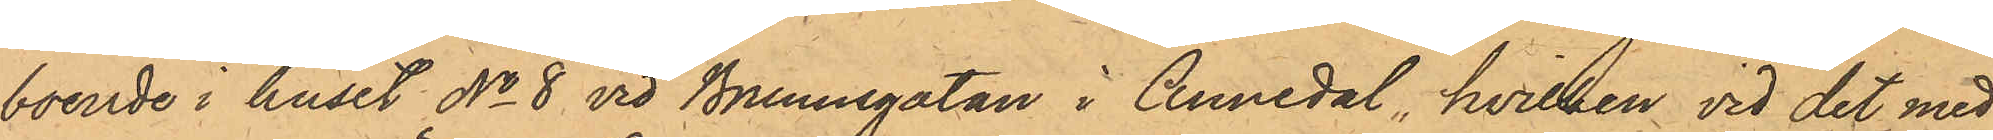boende i huset No 8 vid Brunnsgatan i Annedal, hvilken vid det med
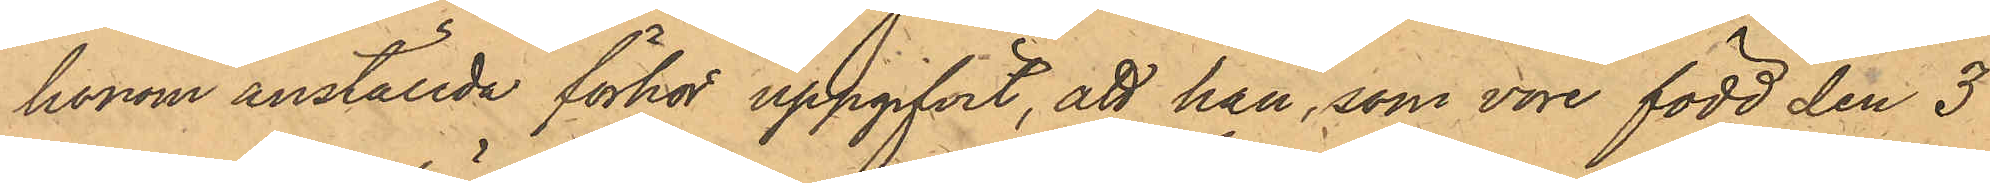honom anställda förhör uppgifvit, att han, som vore född den 3
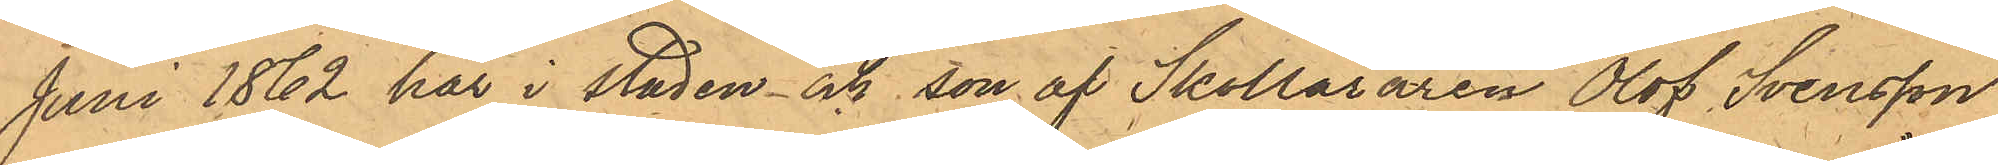Juni 1862 här i staden och son af Skolläraren Olof Svensson
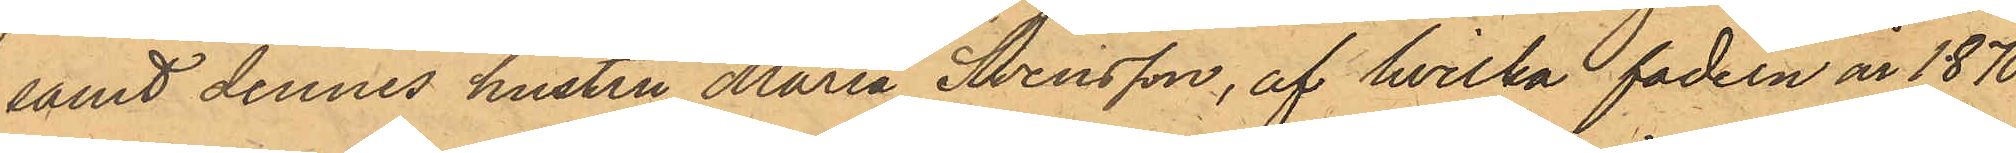samt dennes hustru Maria Svensson, af hvilka fadern år 1870
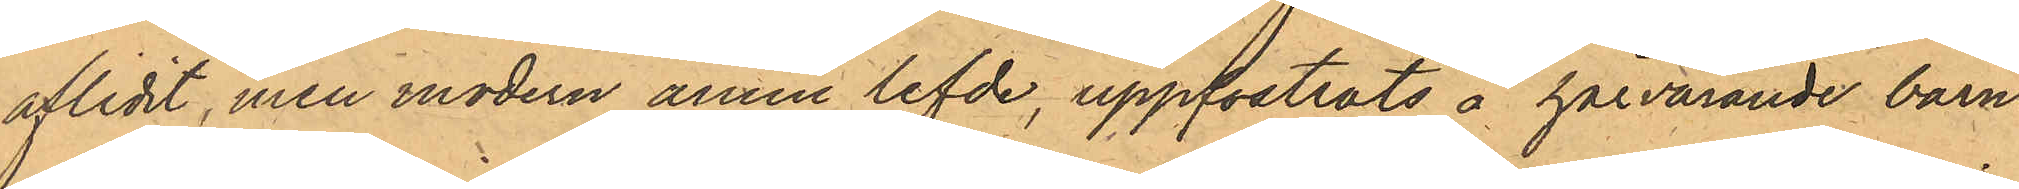aflidit, men modern ännu lefde, uppfostrats å härvarande barn¬
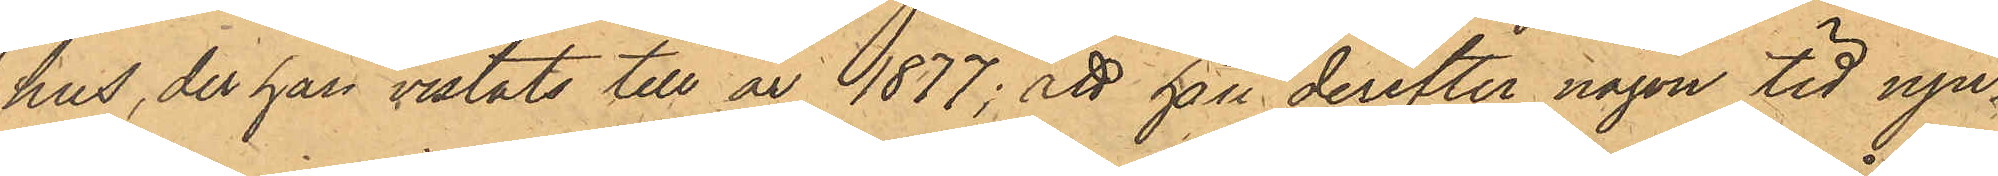hus, der han vistats till år 1877; att han derefter någon tid nju¬
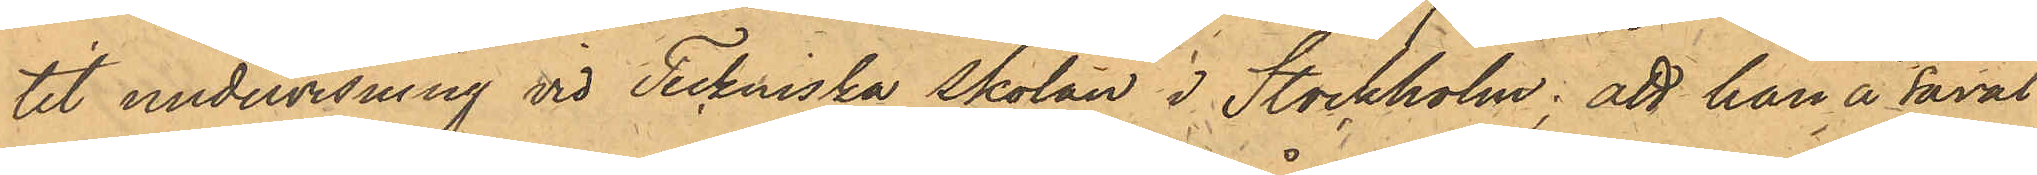tit undervisning vid Teckniska skolan i Stockholm: att han å såväl
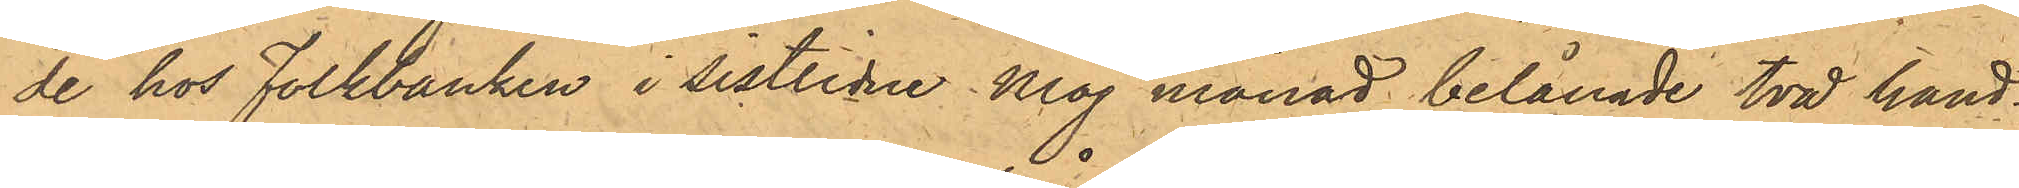de hos Folkbanken i sistlidne Maj månad belånade två hand¬
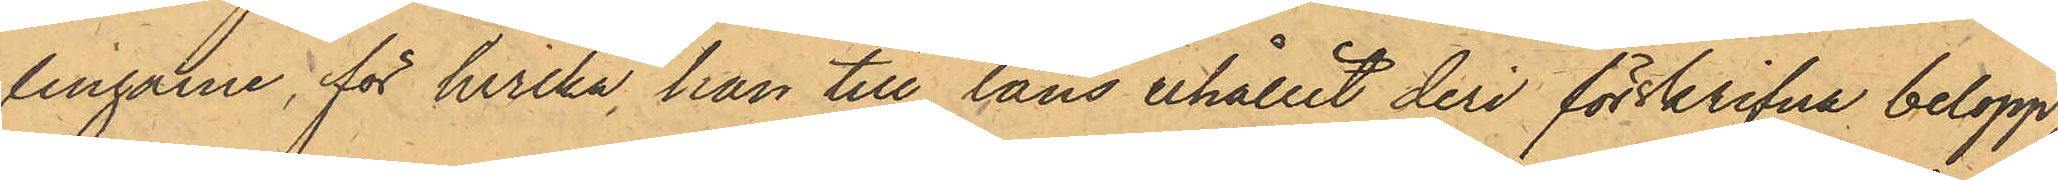lingarne, för hvilka han till låns erhållit deri förskrifna belopp,
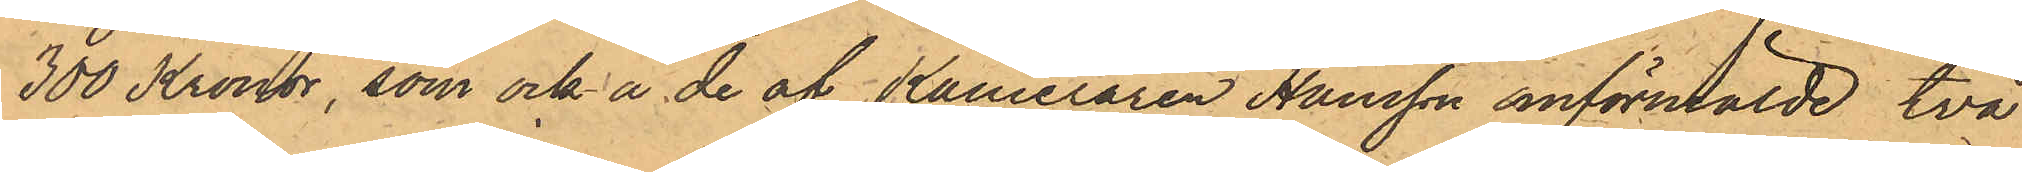300 Kronor, som ock å de af Kameraren Hansson omförmälde två
